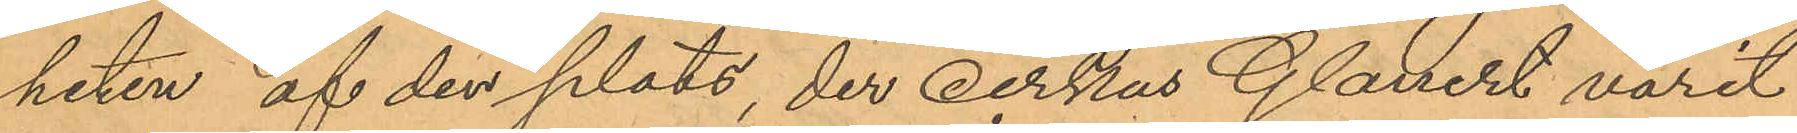heten af den plats, der cirkus Glauert varit
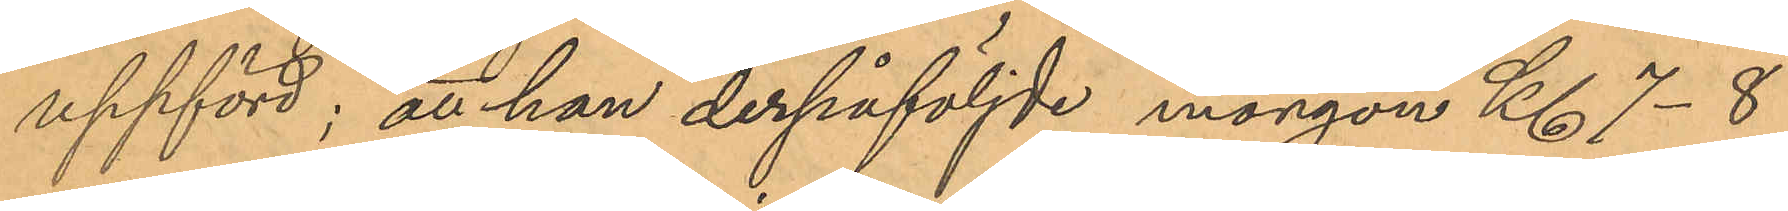uppförd; att han derpåföljde morgon Kl. 7-8
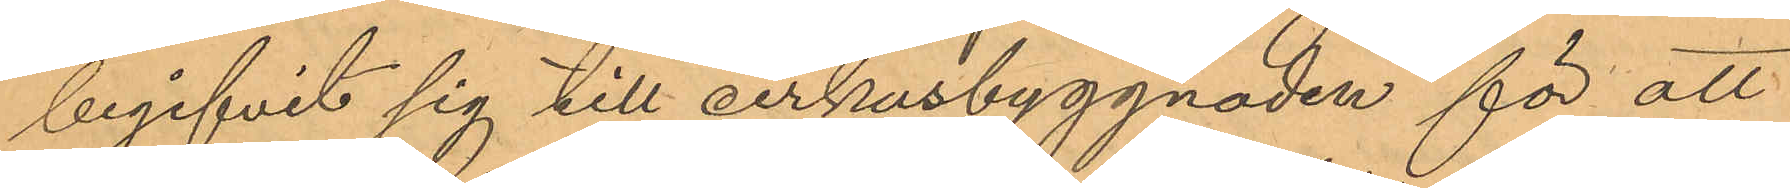begifvit sig till cirkusbyggnaden för att
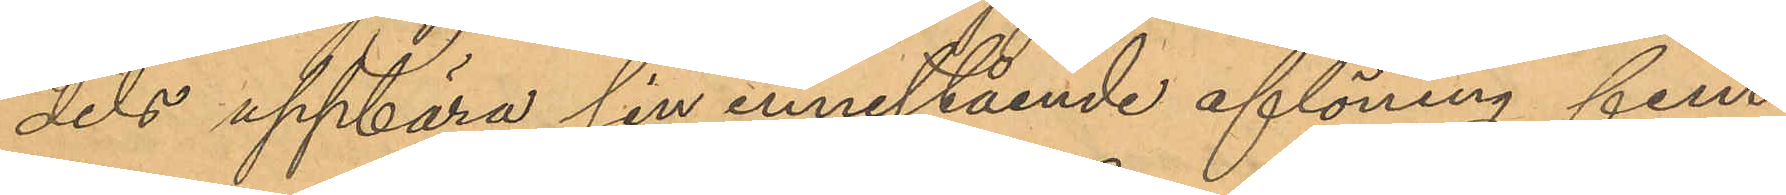dels uppbära sin innestående aflöning fem
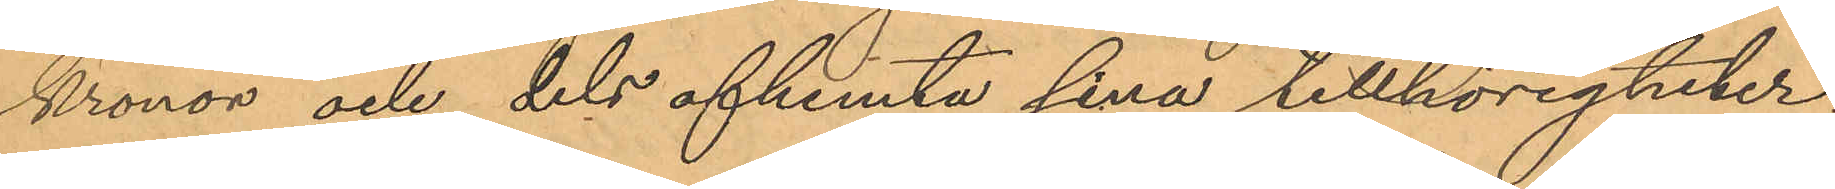Kronor och dels afhemta sina tillhörigheter;
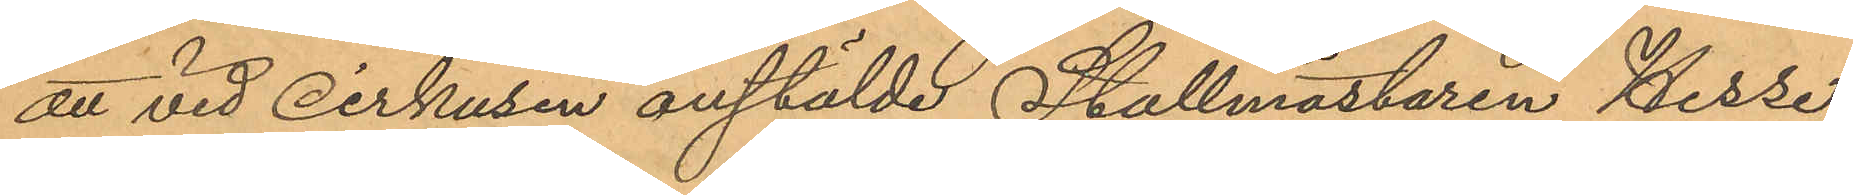att vid cirkusen anstälde Stallmästaren Hesse
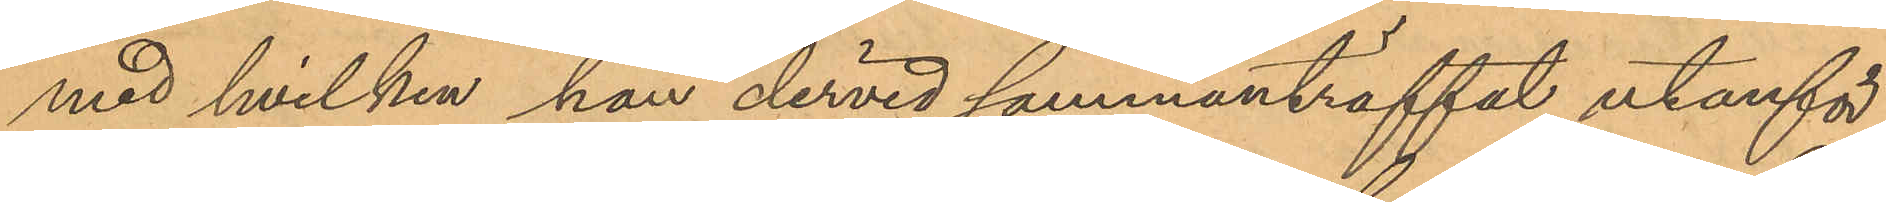med hvilken han dervid sammanträffat utanför
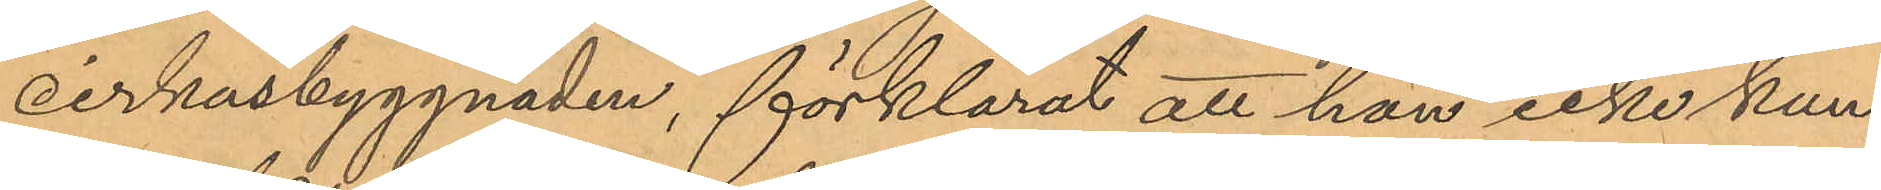cirkusbyggnaden, förklarat att han icke kun¬
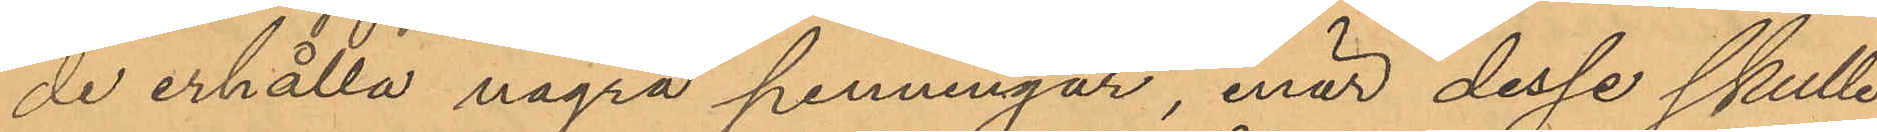de erhålla några penningar, enär desse skulle
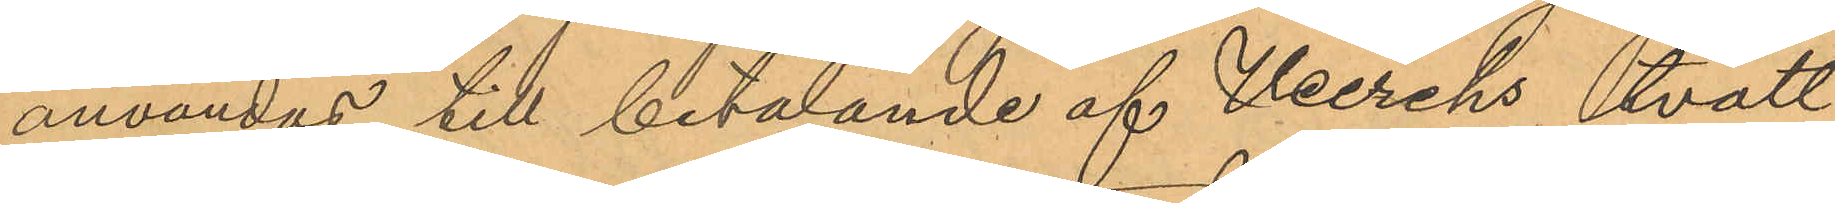användas till betalande af Heerchs tvätt
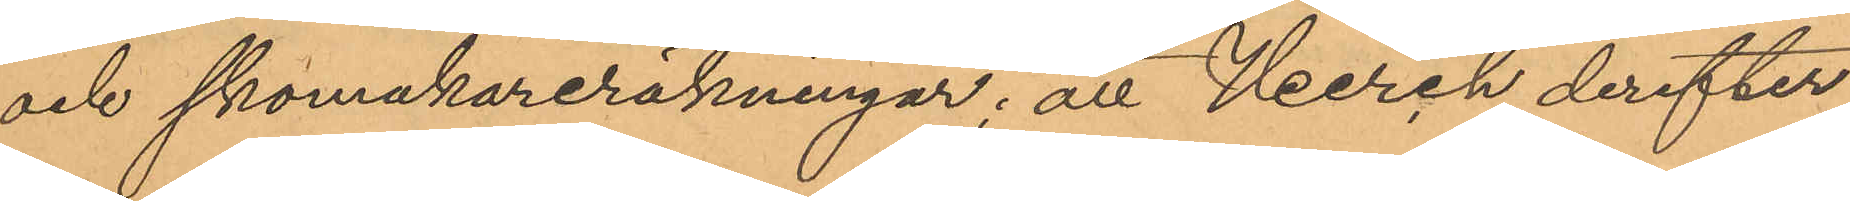och skomakareräkningar; att Heerch derefter
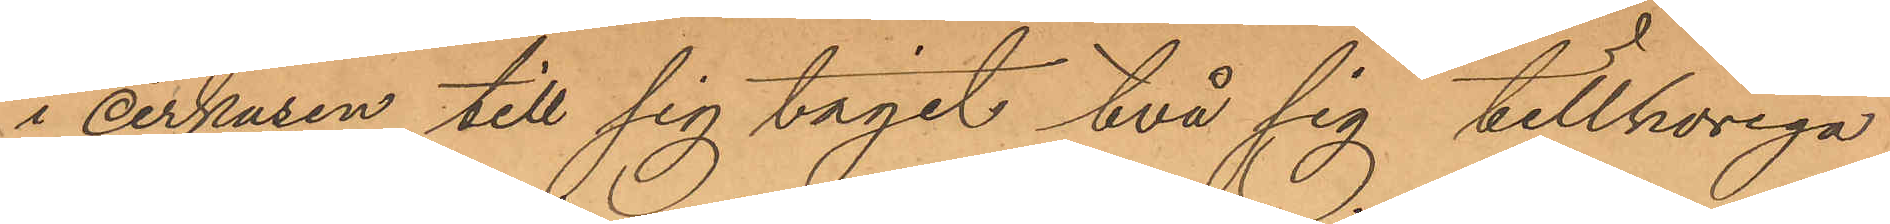i cirkusen till sig tagit två sig tillhöriga
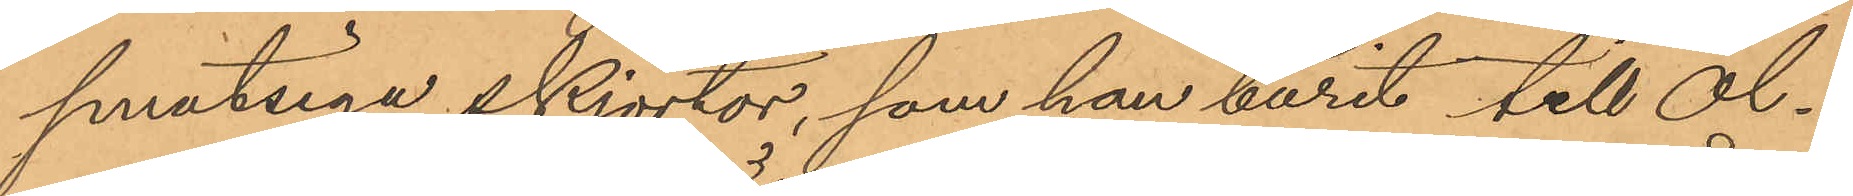smutsiga skjortor, som han burit till Ol¬
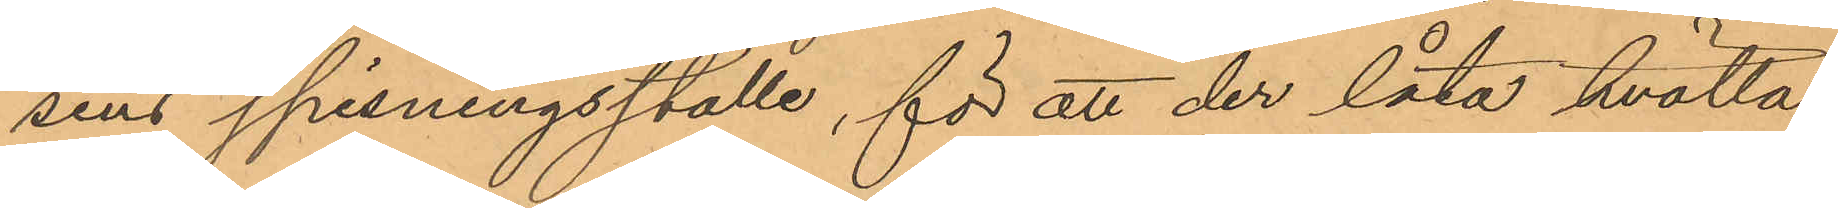sens spisningsställe, för att der låta tvätta
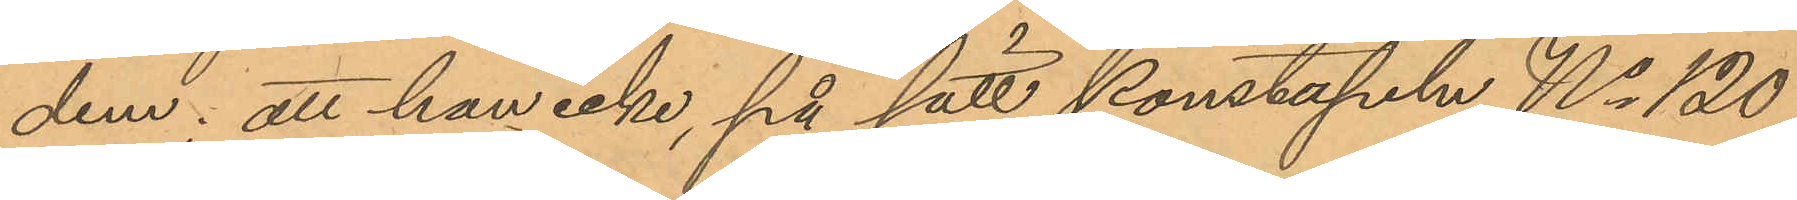dem; att han icke, på sätt konstapeln No 120
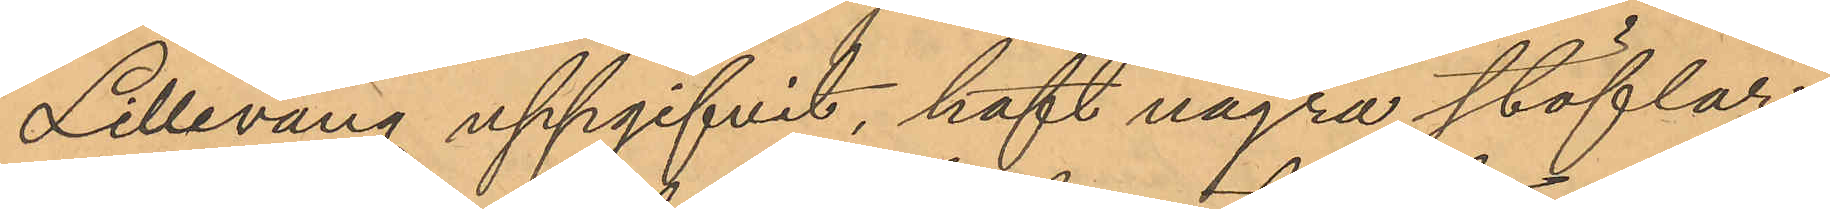Lillevang uppgifvit, haft några stöflar
